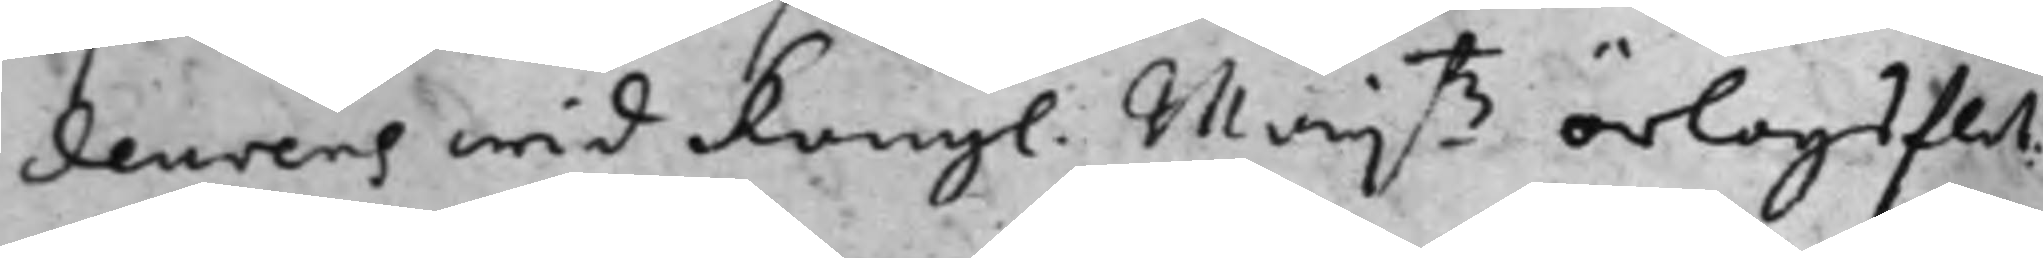deurens wid Kongl. Maijß örlogsflot¬
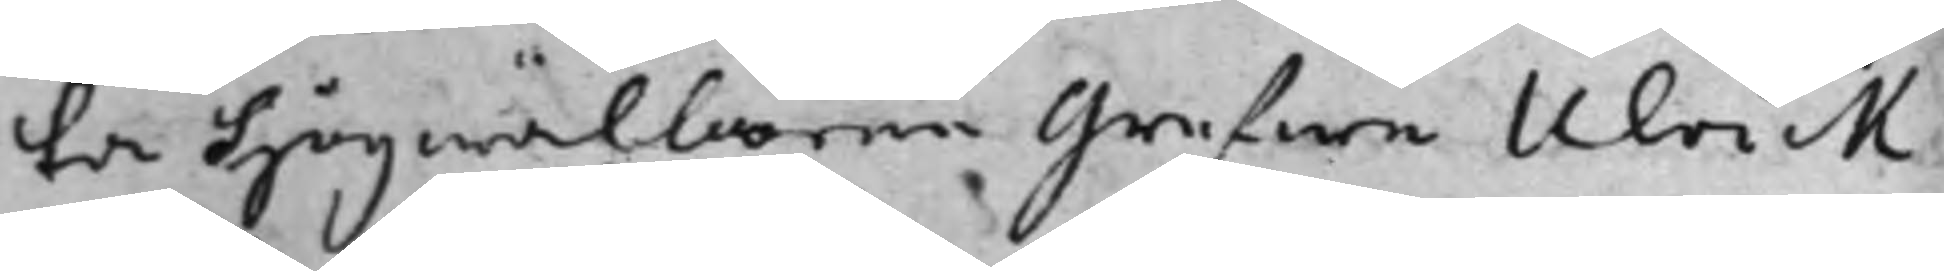ta högwälborne grefwen Ulrick
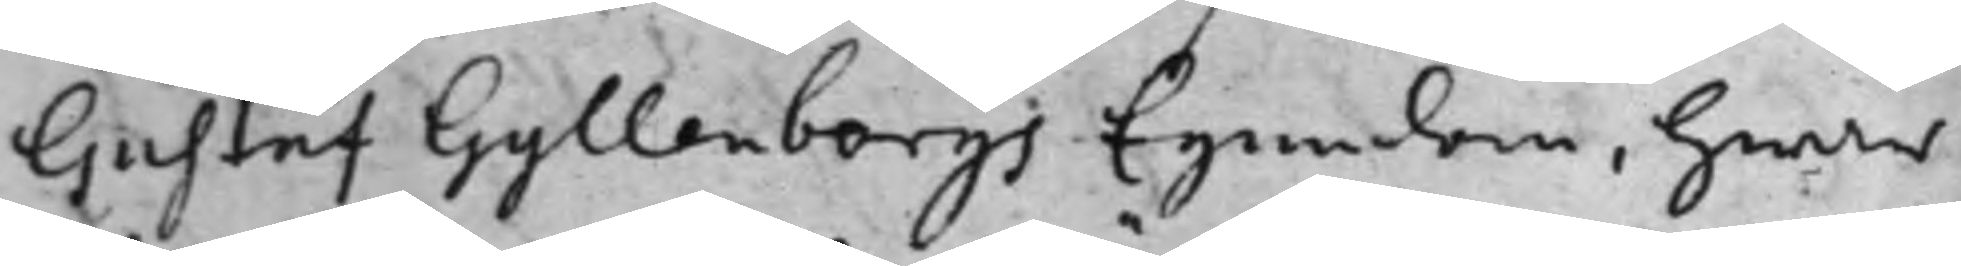Gustaf Gyllenborgs Egendom, hwar
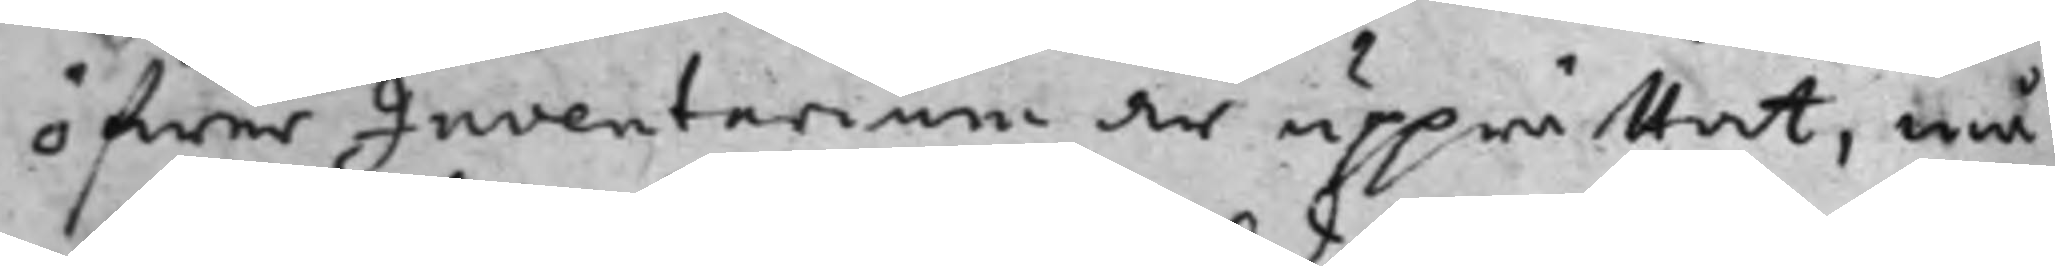öfwer Inventarium är upprättat, må
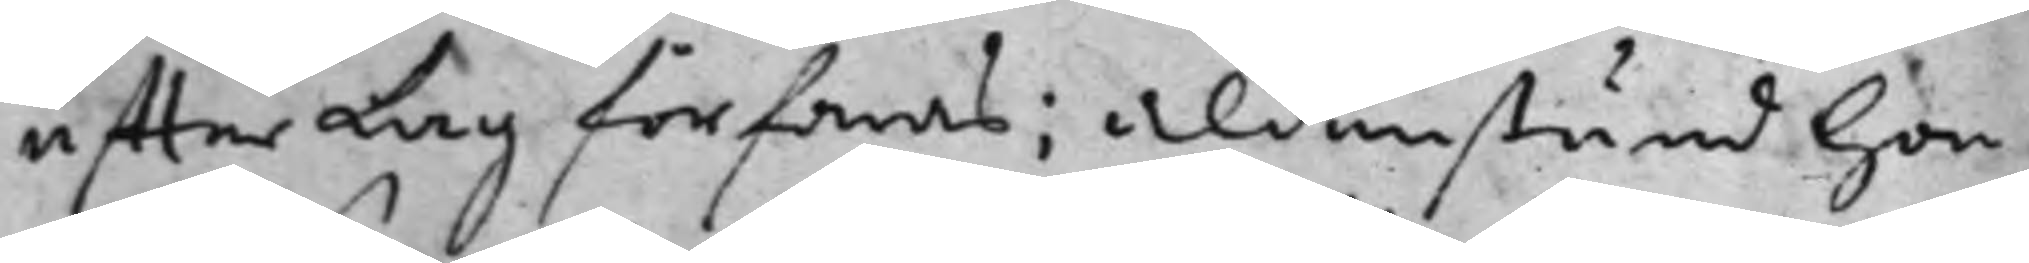efter lag förfaras; aldenstund hon
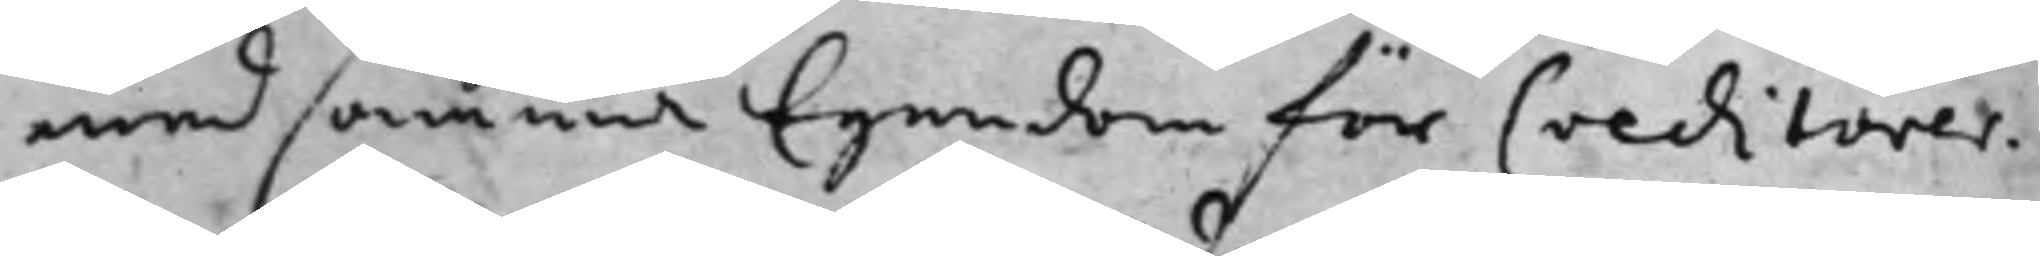med samma Egendom för Creditorer¬
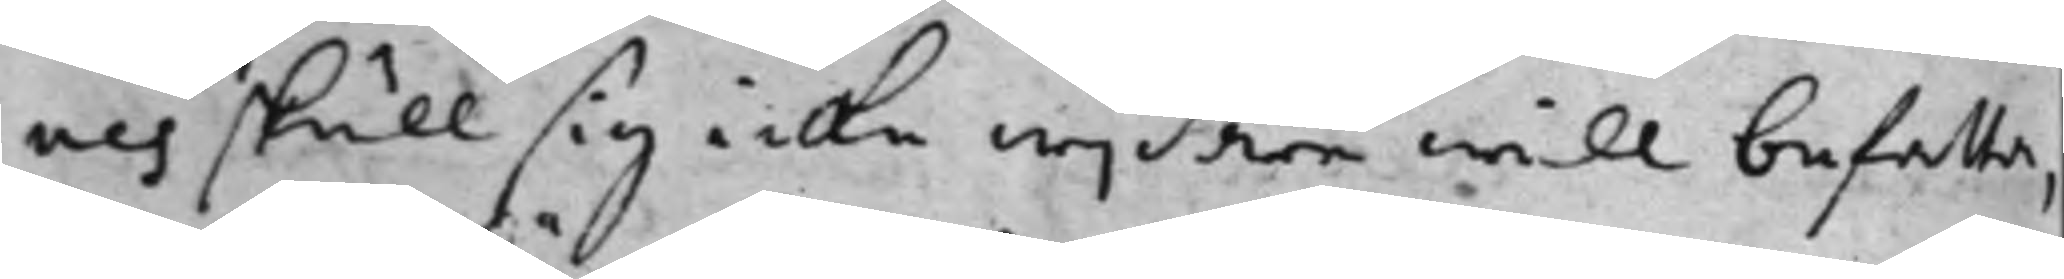nes skull sig icke wijdare will befatta,
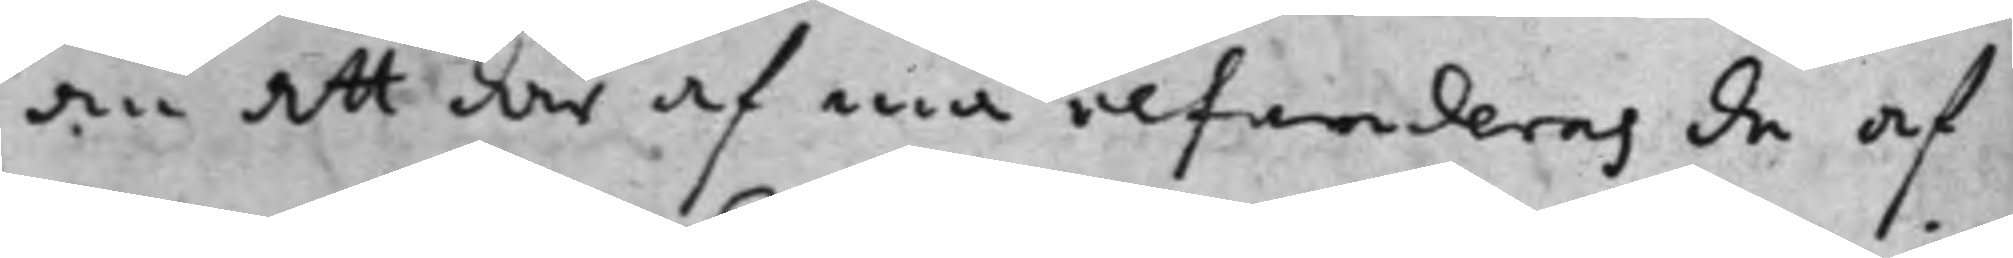än att där af må refenderas de af
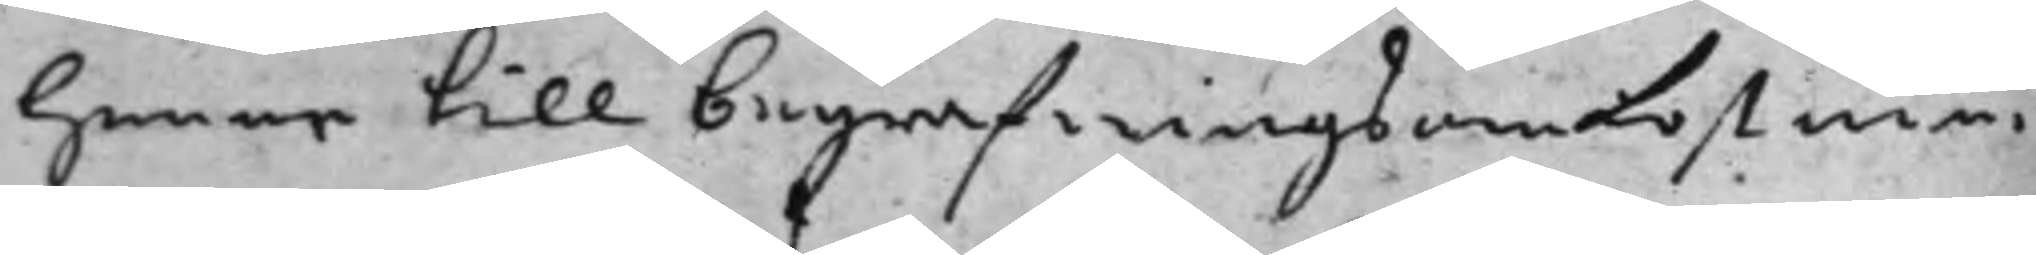henne till begrafningsomkostnin¬
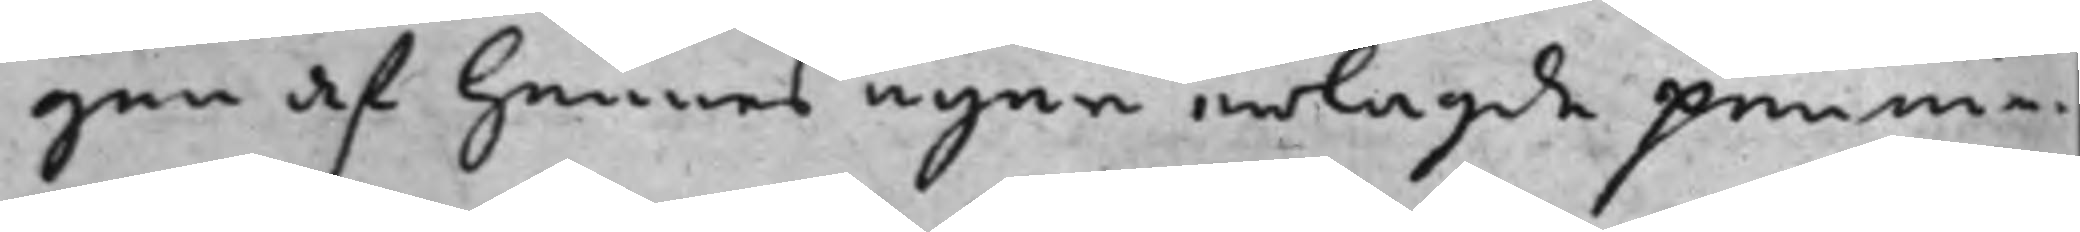gen af hennes egne erlagde pennin¬
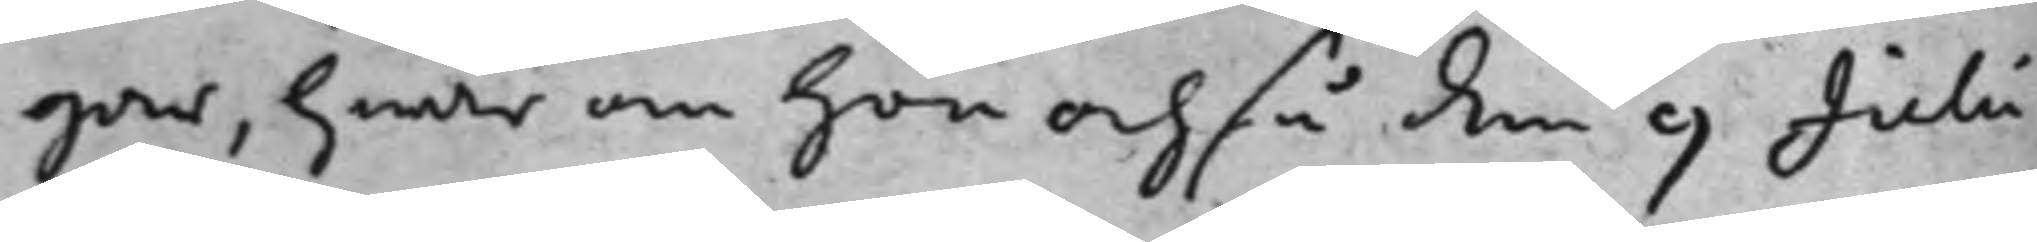gar, hwar om hon ochså den 9 Julii
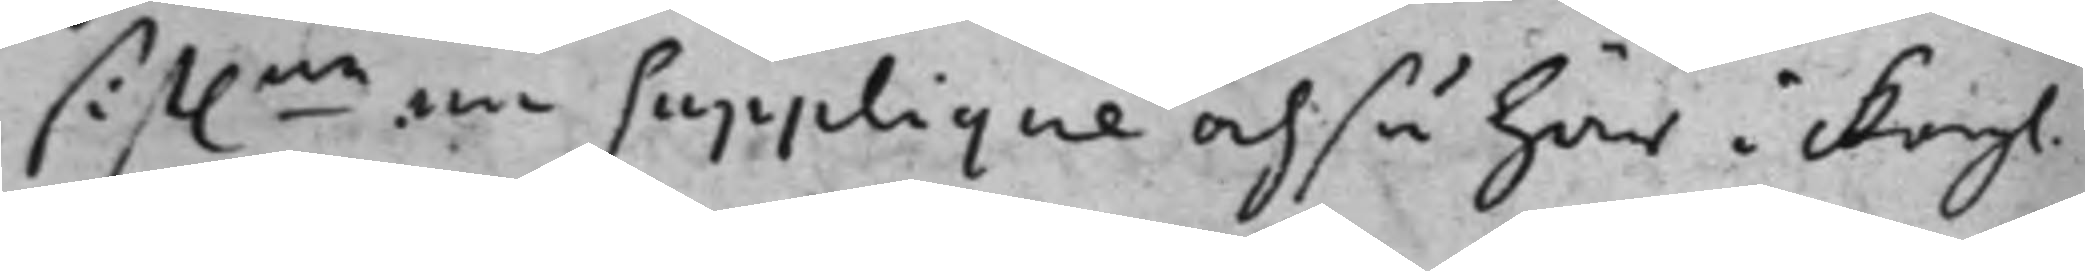sist.ne en supplique ochså här i Kongl.
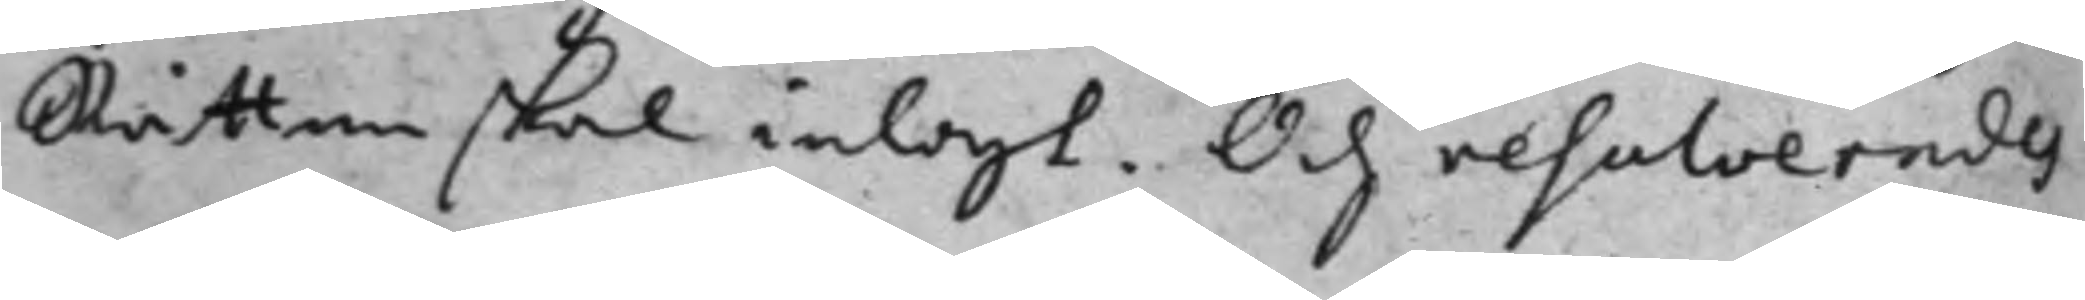Rätten skal inlagt. Och resolverades
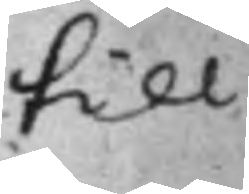till
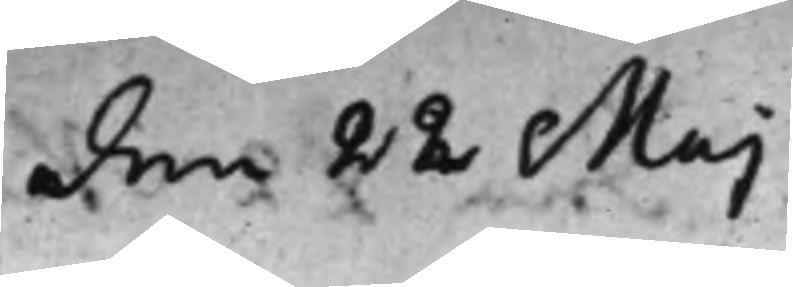den 22 Maj
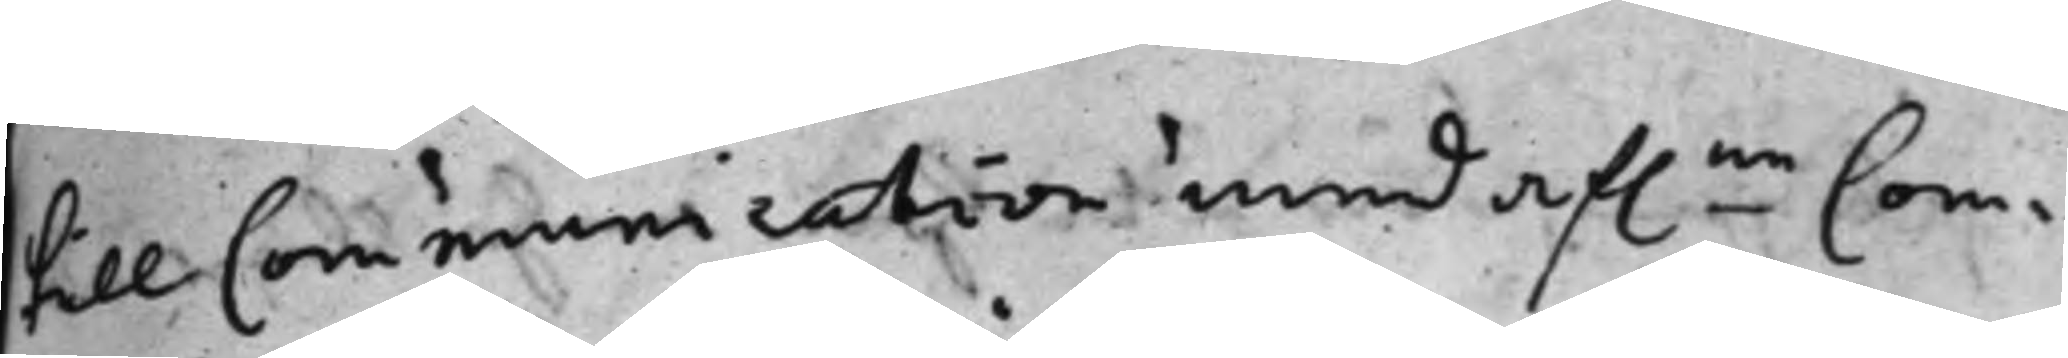till Communication med af.ne Com¬
